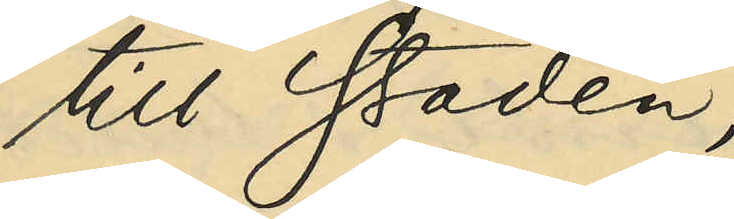till staden;
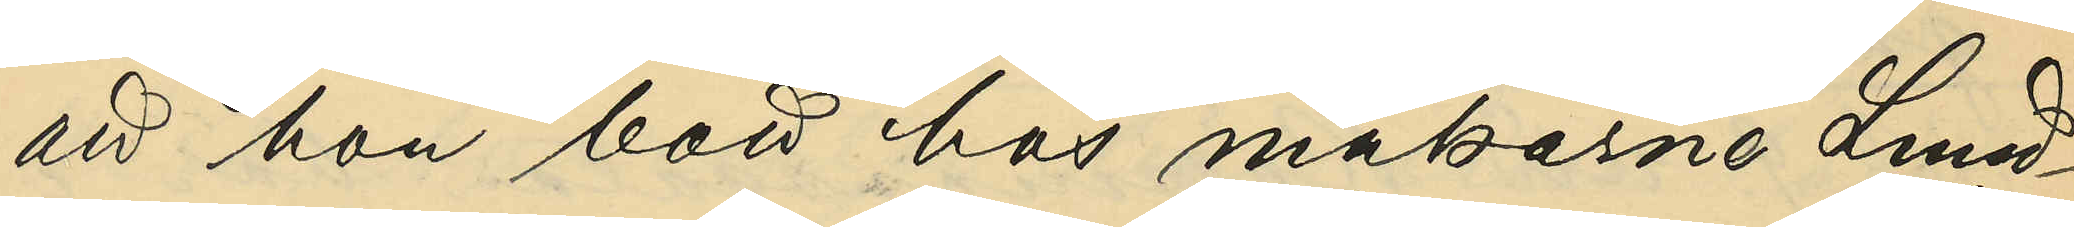att hon bott hos makarne Lund¬
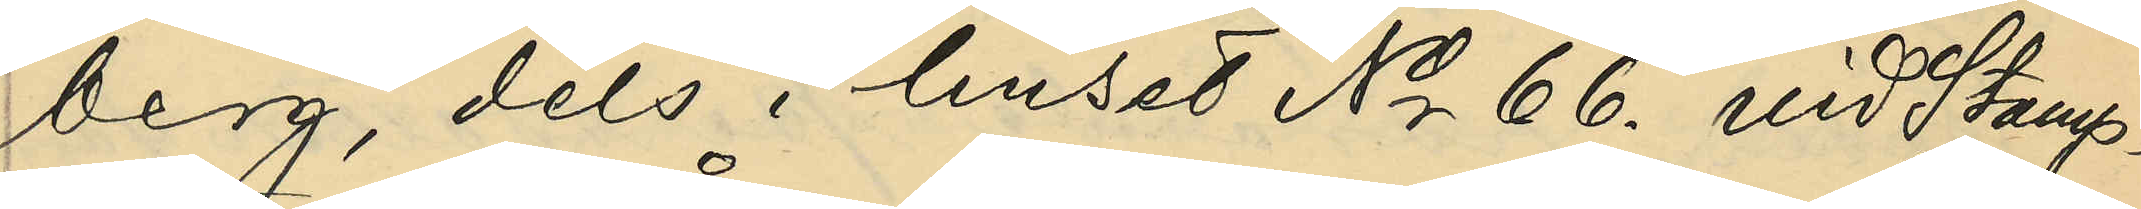berg, dels i huset No 66 vid Stamp¬
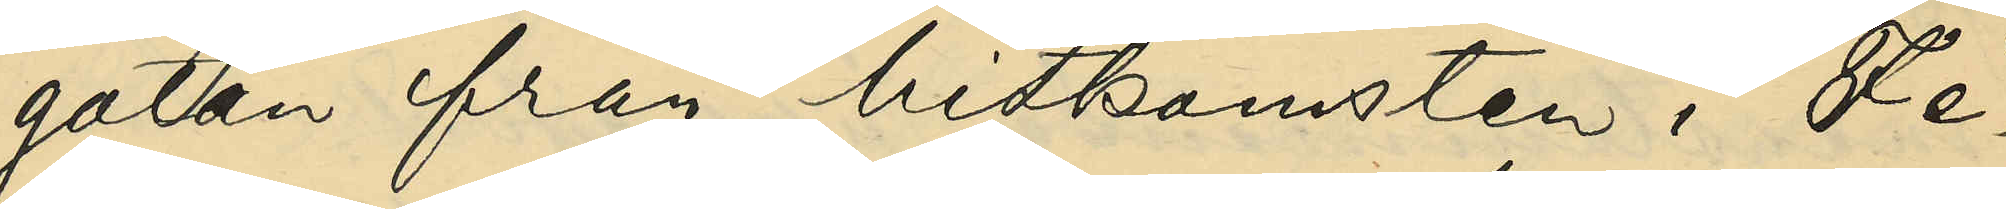gatan från hitkomsten i Fe¬
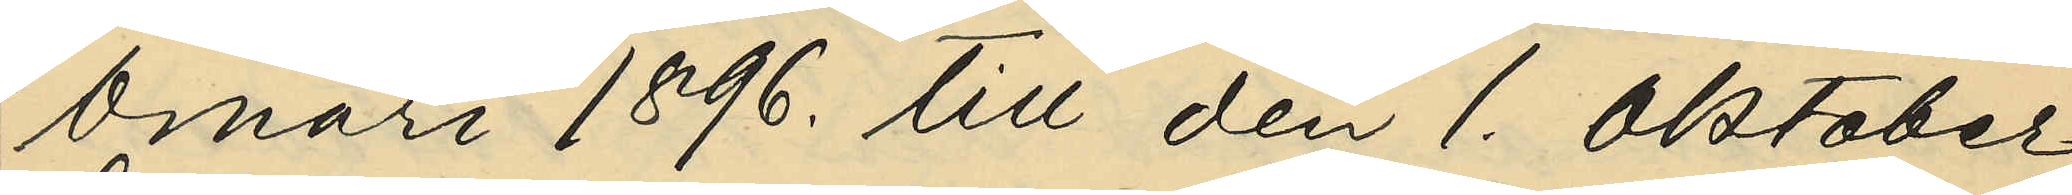bruari 1896. till den 1. Oktober
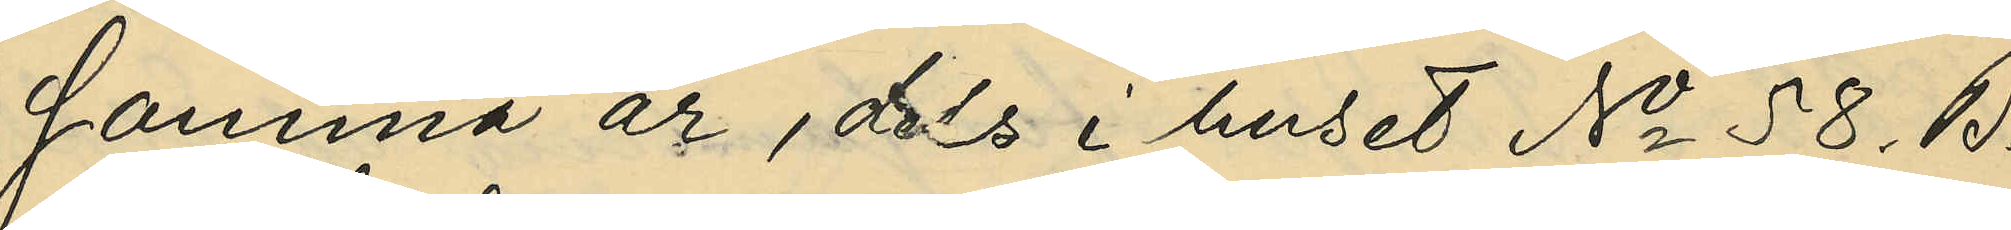samma år, dels i huset No 58. B.
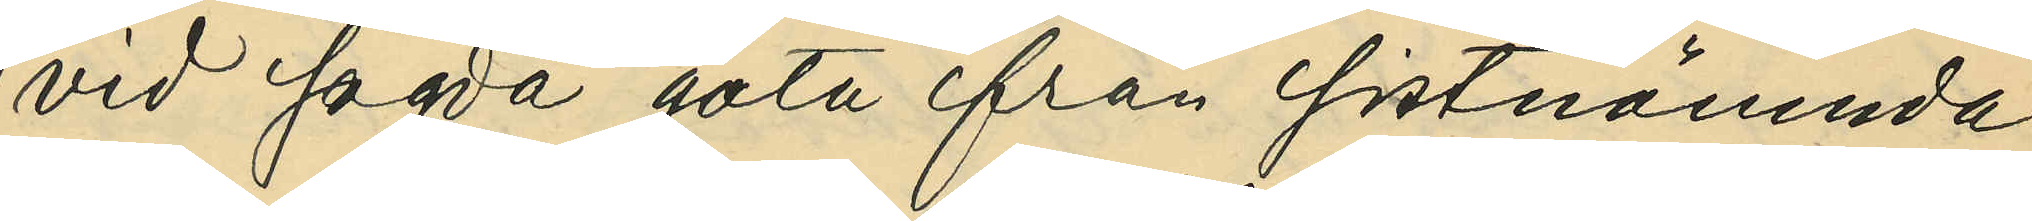vid sagda gata från sistnämnde
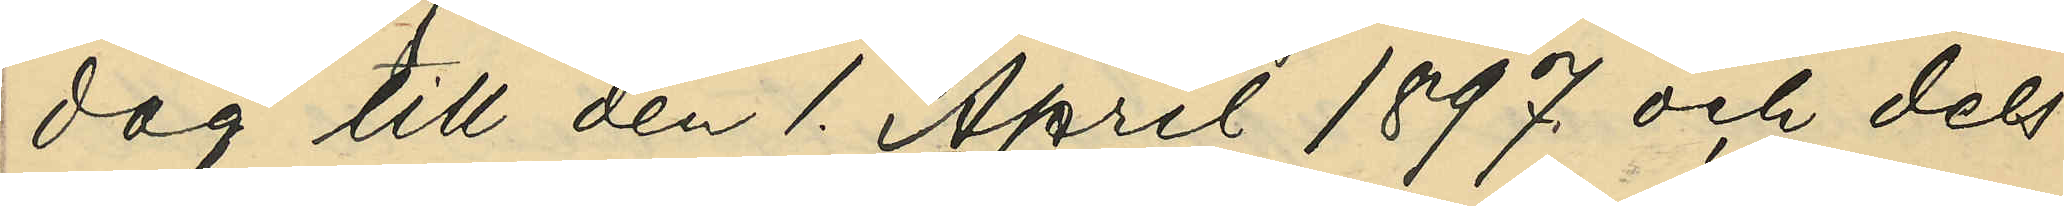dag till den 1. April 1897 och dels
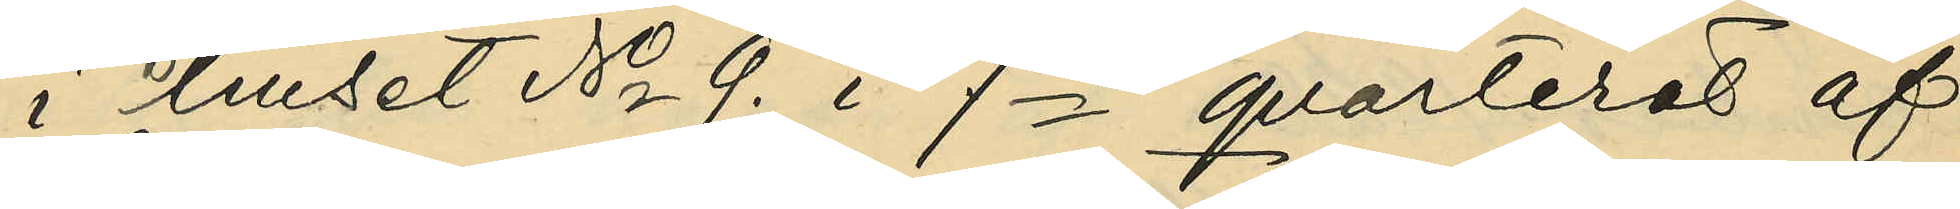i huset No 9. i 7de qvarteret af
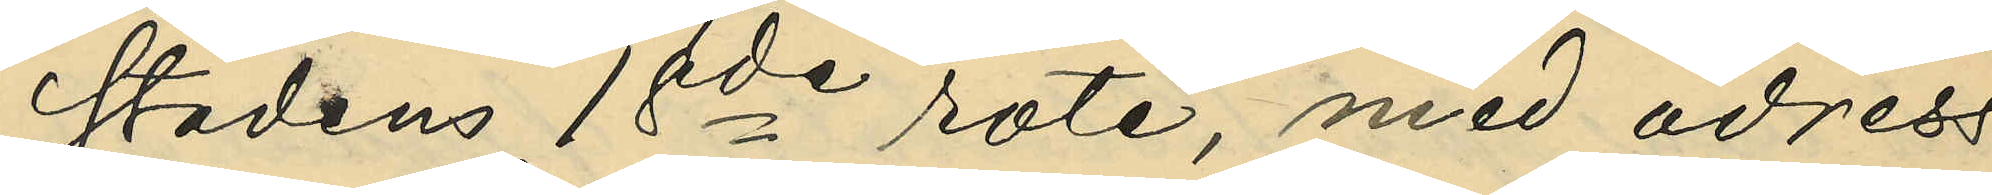stadens 18de rote, med adress
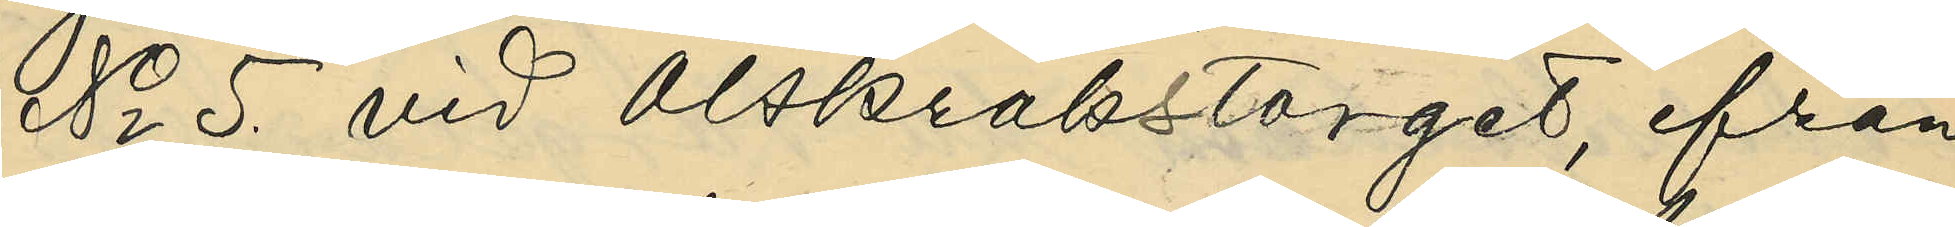No 5. vid Olskrokstorget, från
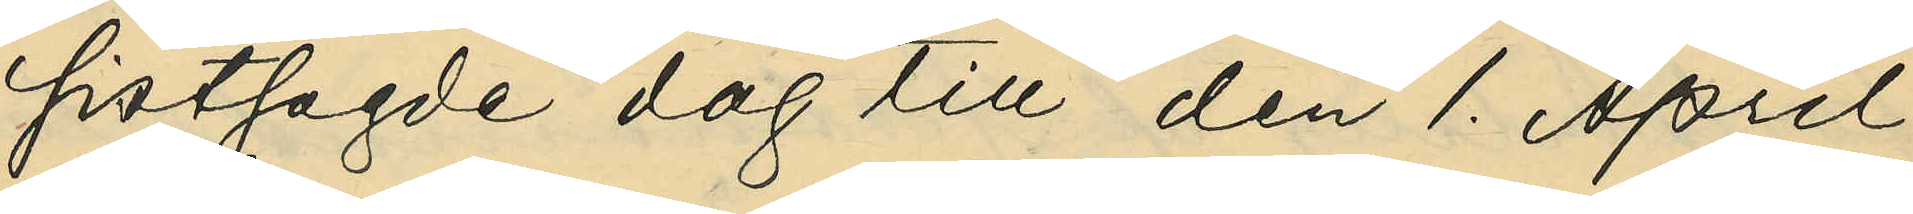sistsagde dag till den 1. April
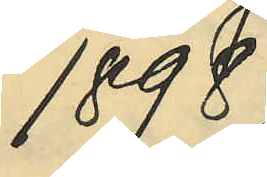1898;
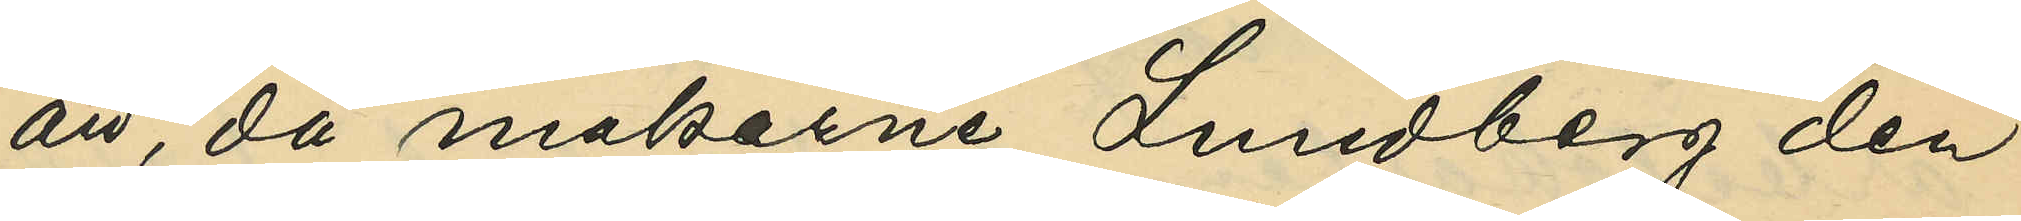att, då makarne Lundberg den
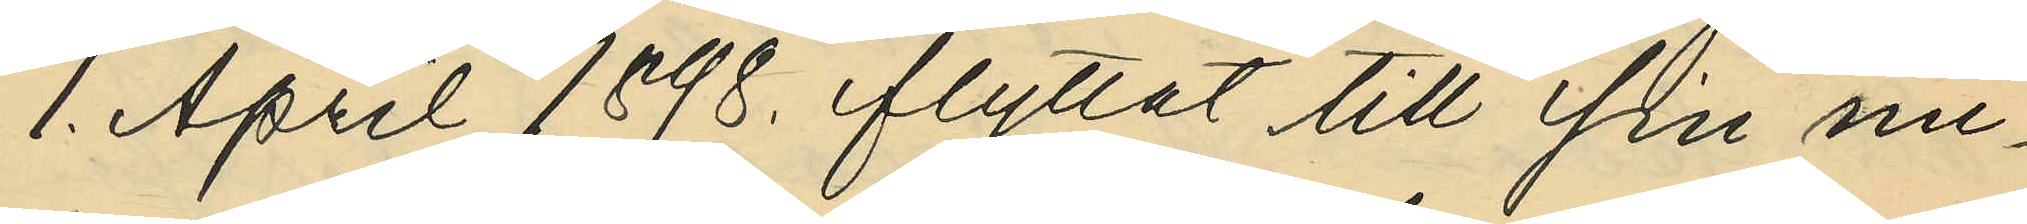1. April 1898. flyttat till sin nu¬
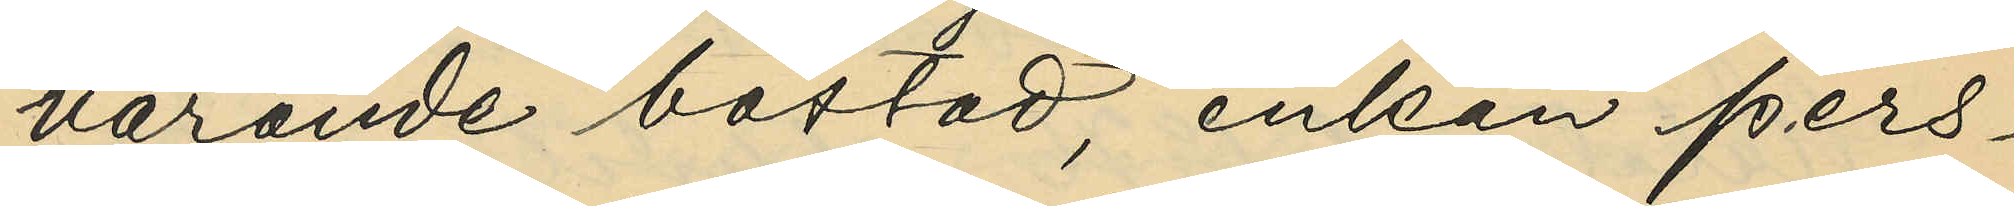varande bostad, enkan Pers¬
